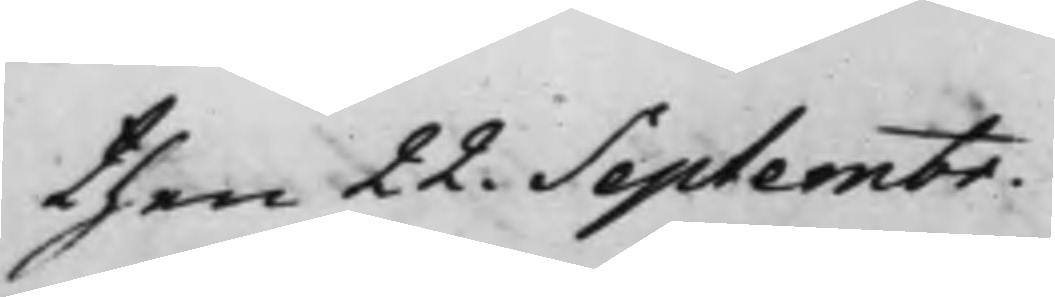then 22. Septembr.
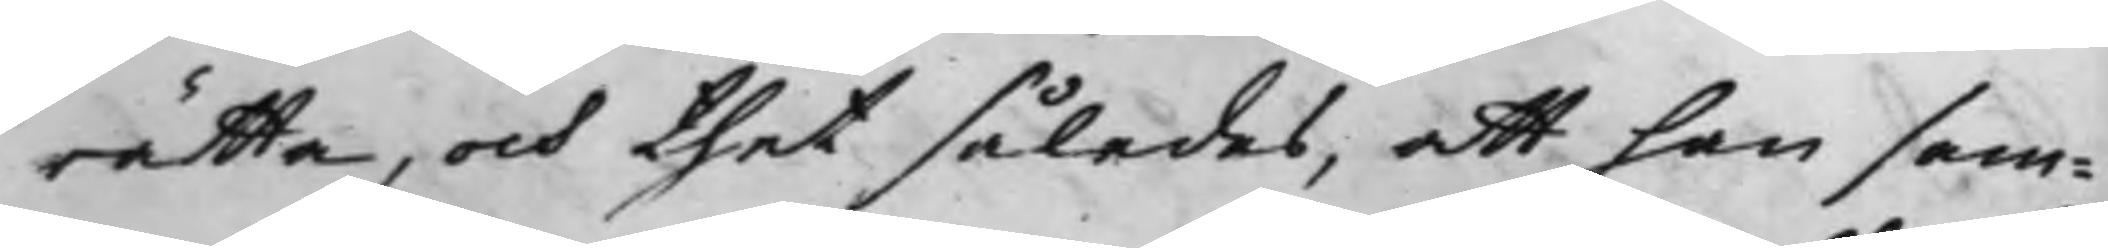rätta, och thet således, att han sam¬
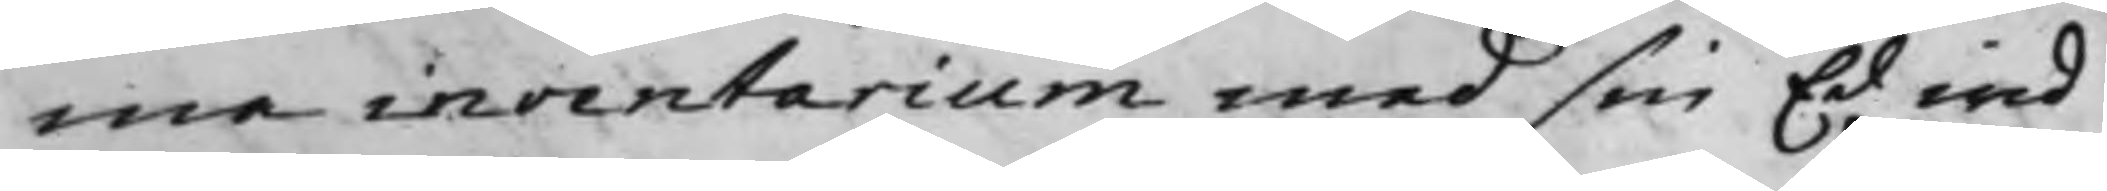ma inventarium med sin Ed wid
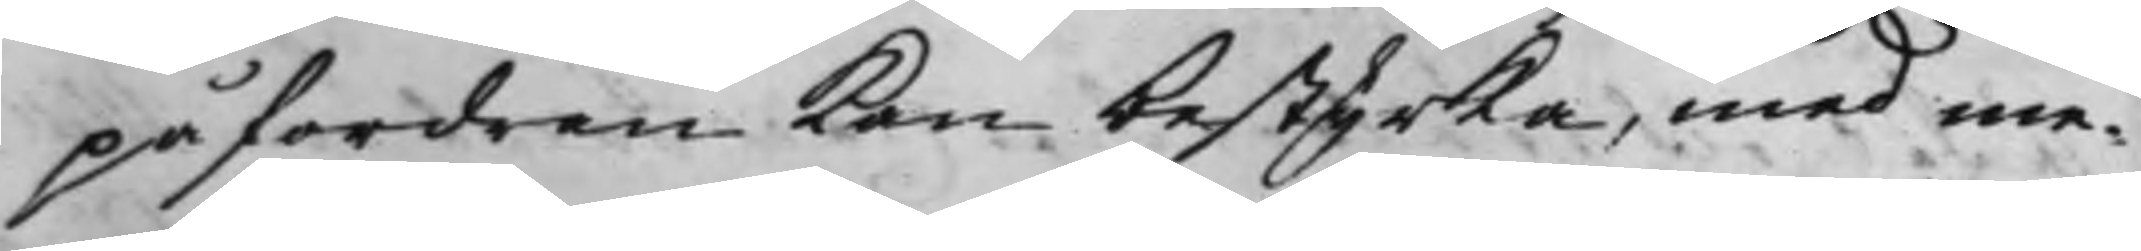påfordran kan bestyrka, med me¬
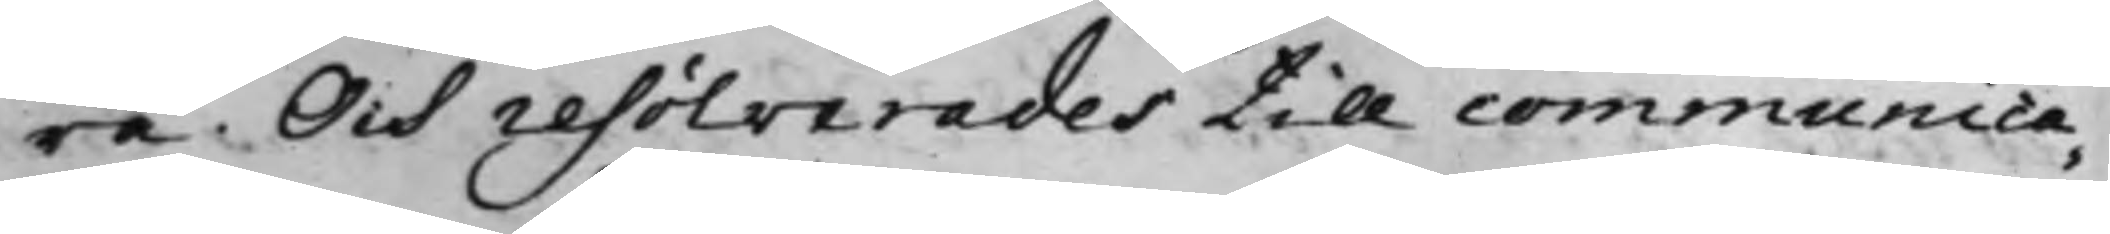ra. Och resolverades till communica¬
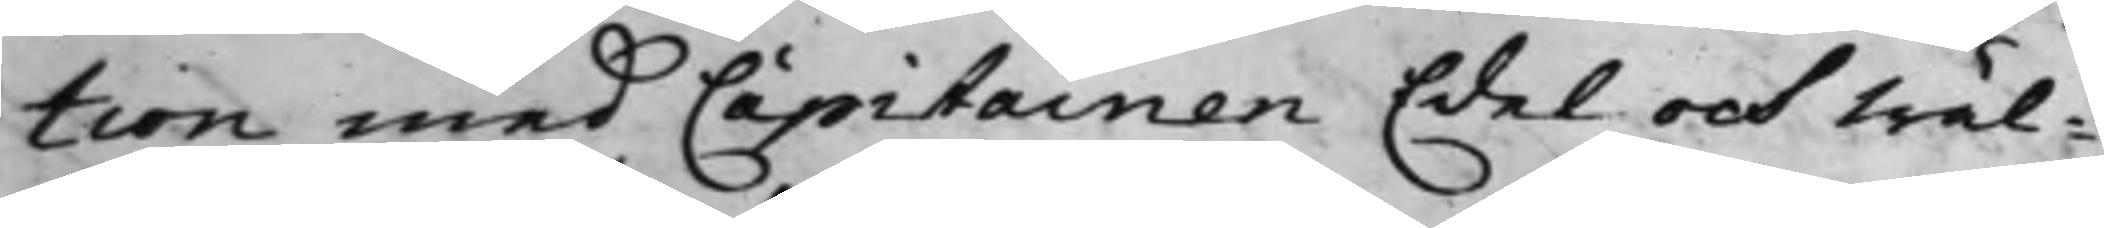tion med Capitainen Edel och Wäl¬
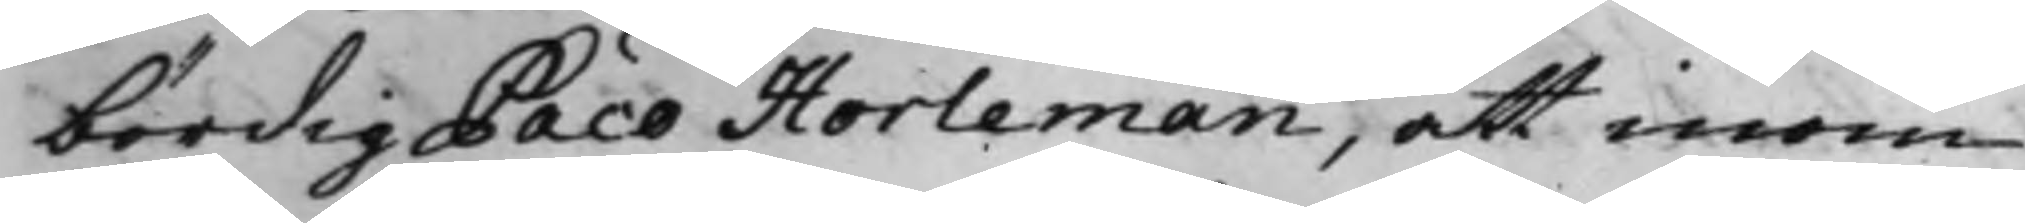bördig Paco Horleman, att inom
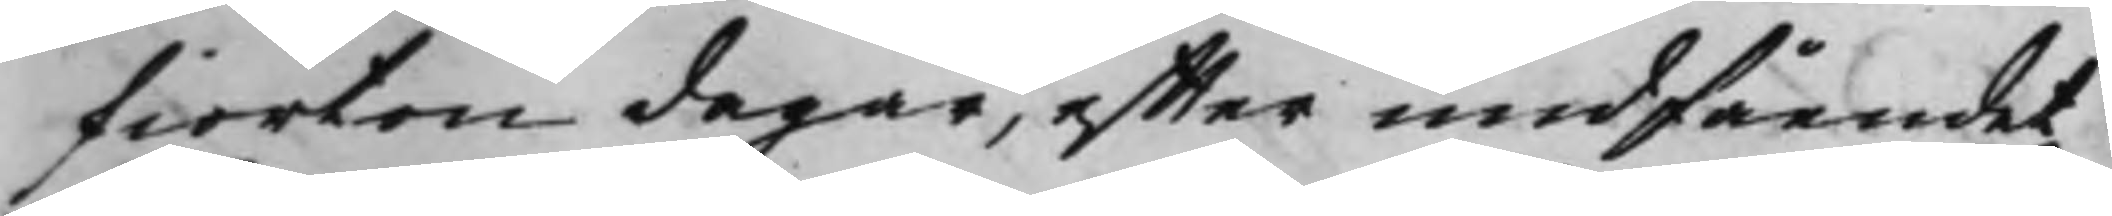fiorton dagar, effter undfåendet
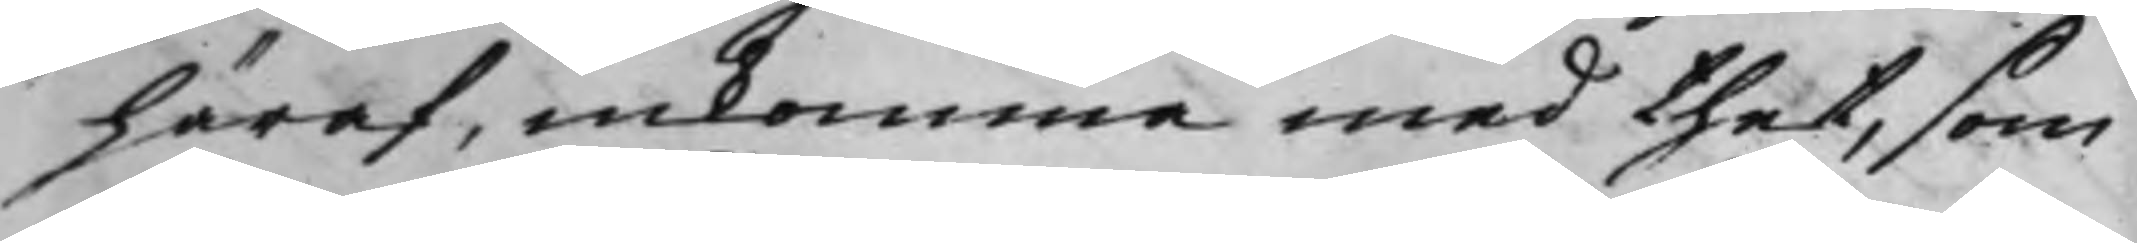häraf, inkomma med thet, som
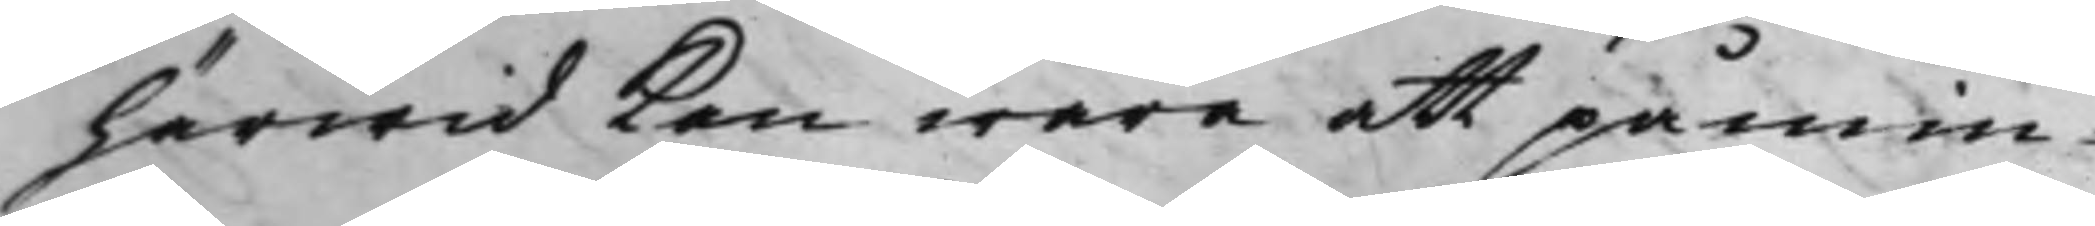härwid kan wara att påmin¬
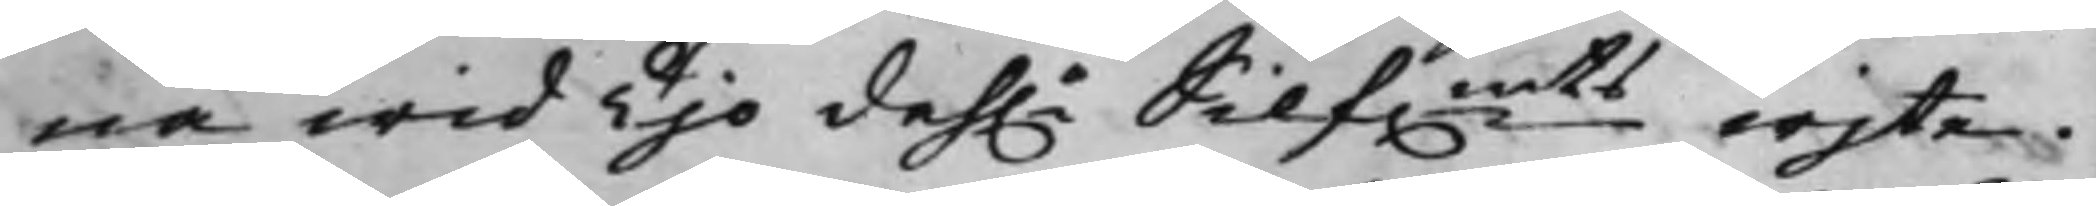na wid Tijo dah.r Silf.mts wijte.
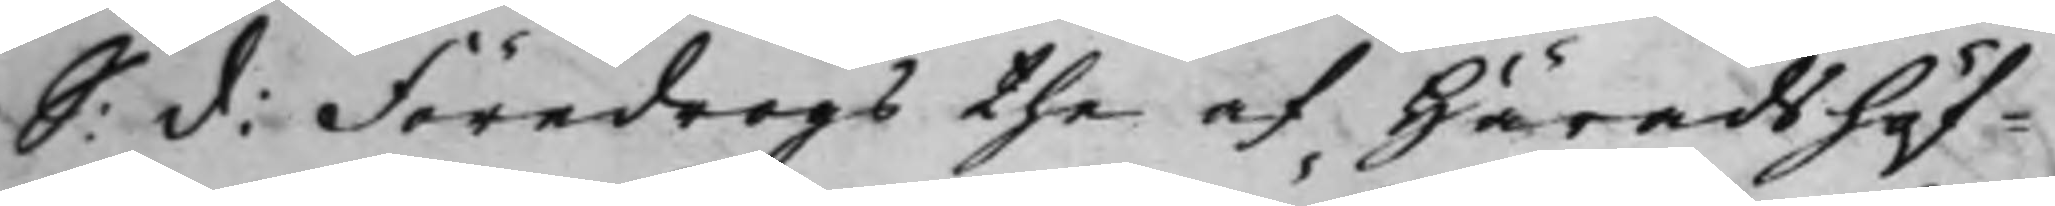S: d: Föredrogs the af Häradshöf¬
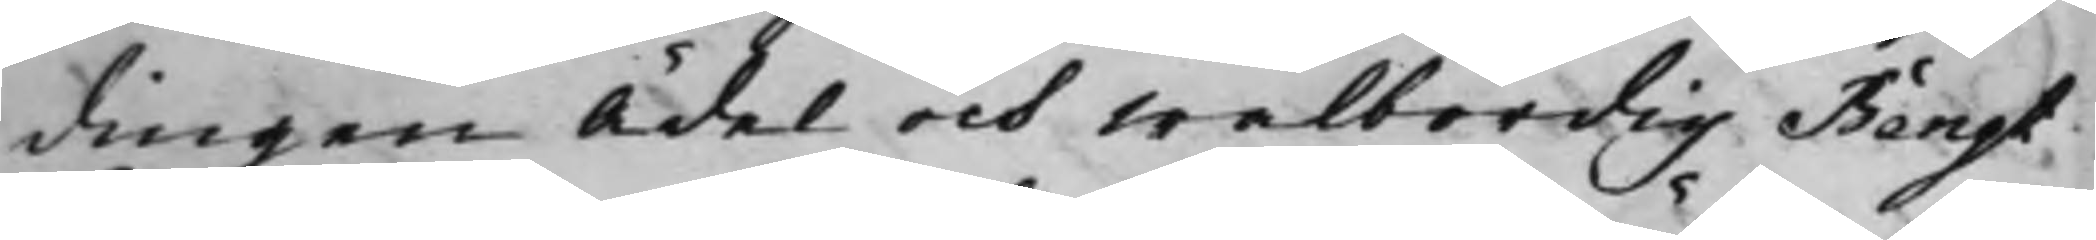dingen Ädel och Wälbördig Bengt
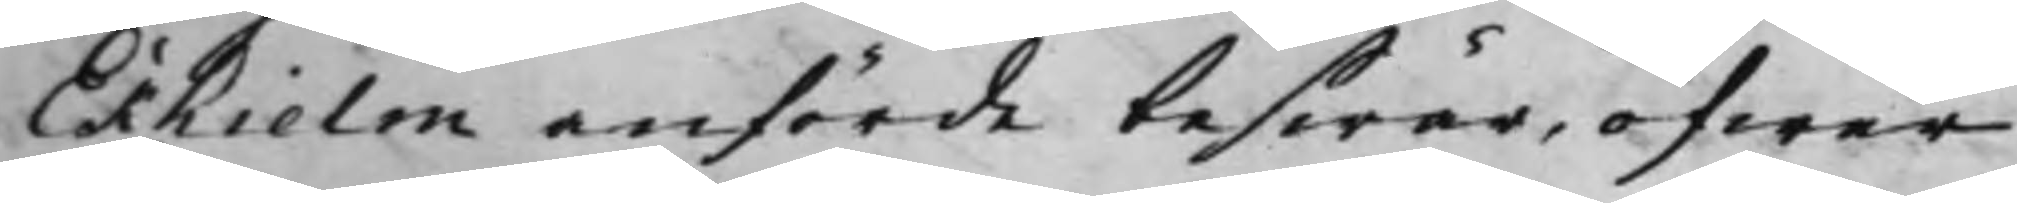Ekhielm anförde beswär, öfwer
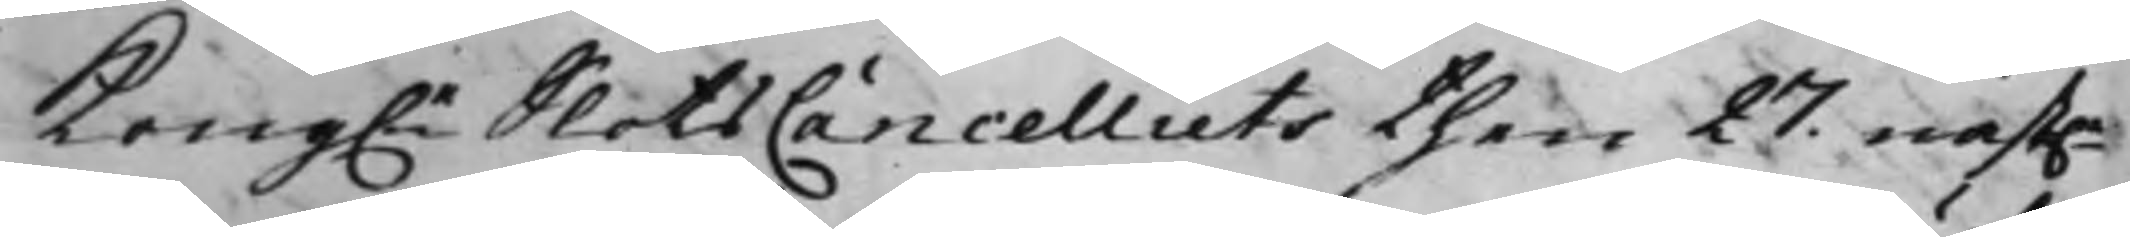Kong.e SlotsCancelliets then 27 näst.e
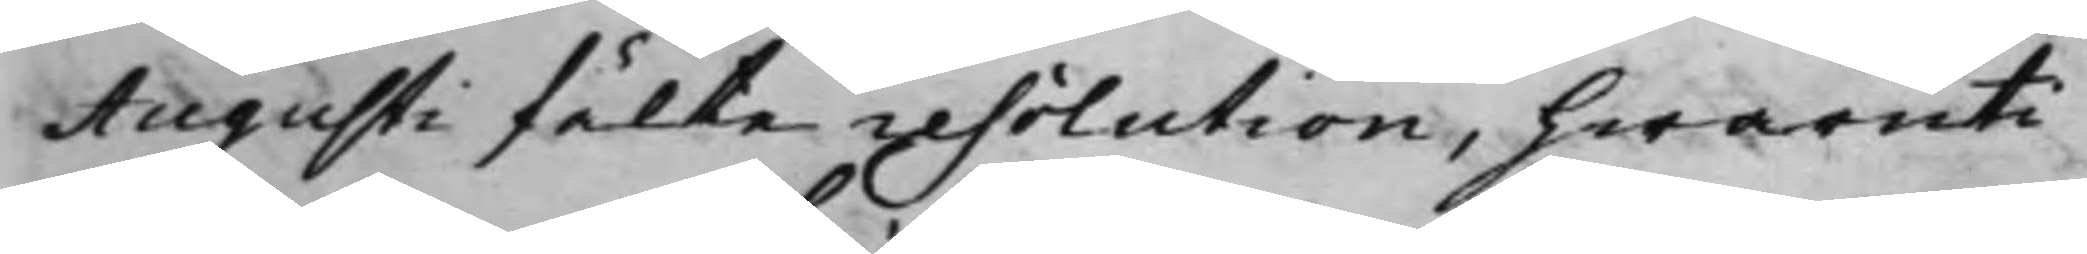Augusti fälte resolution, hwaruti
